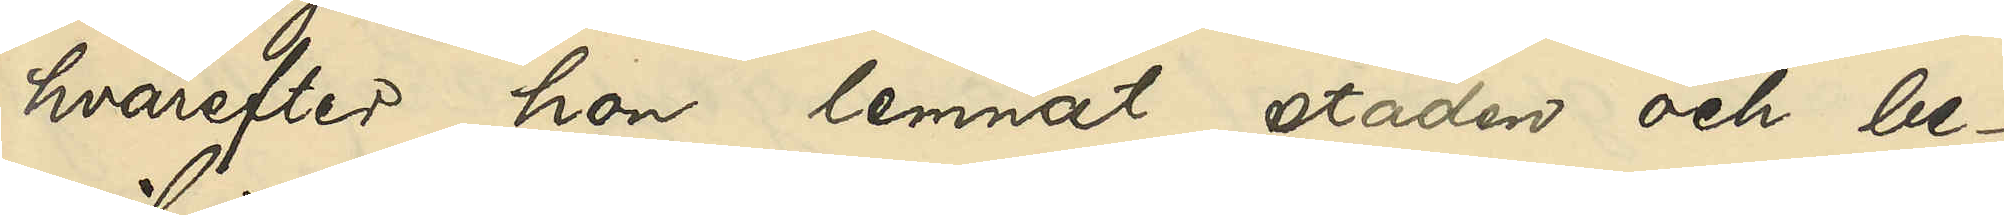hvarefter hon lemnat staden och be¬
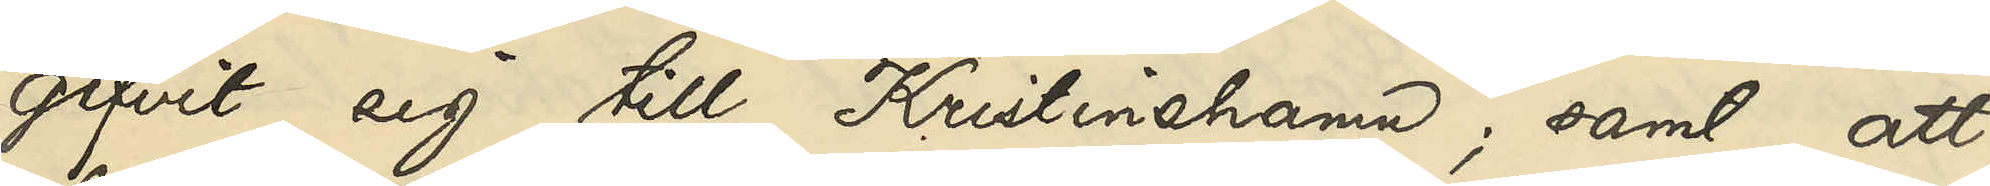gifvit sig till Kristinehamn; samt att
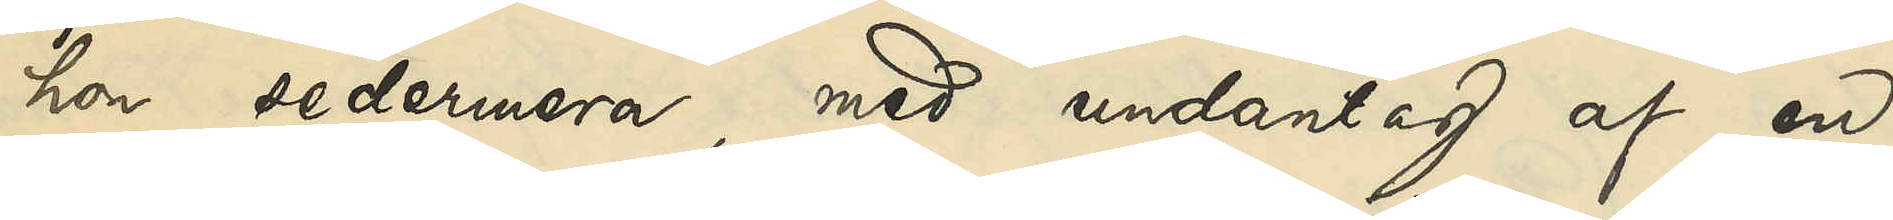hon sedermera, med undantag af en
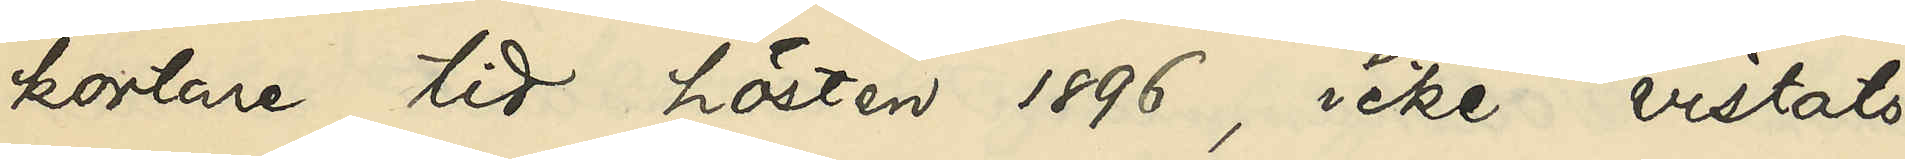kortare tid hösten 1896, icke vistats
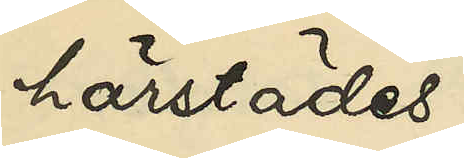härstädes;
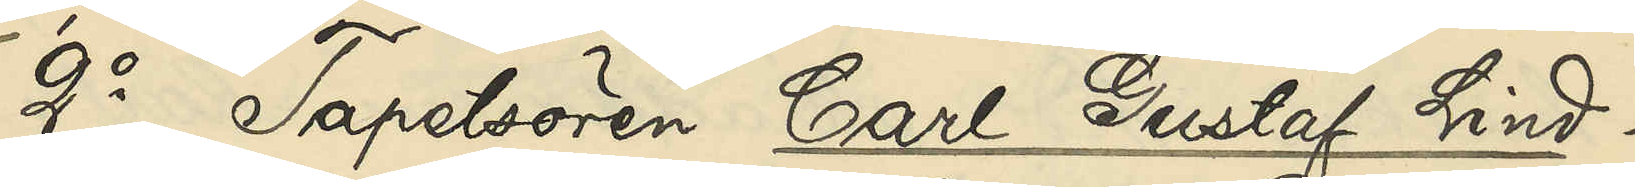2o Tapetsören Carl Gustaf Lind¬
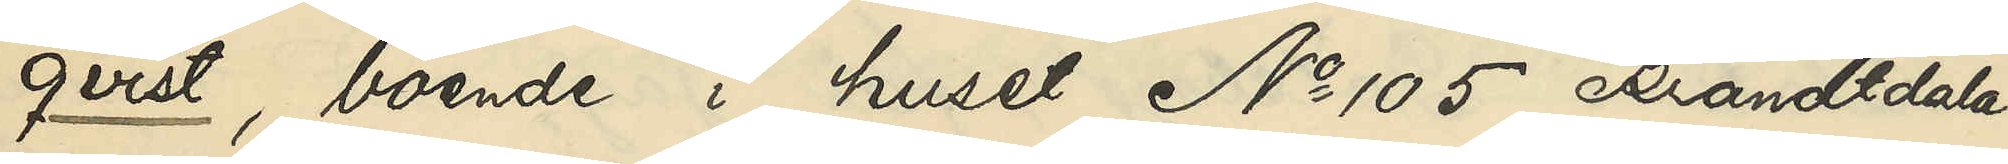qvist, boende i huset No 105 Brandtdala:
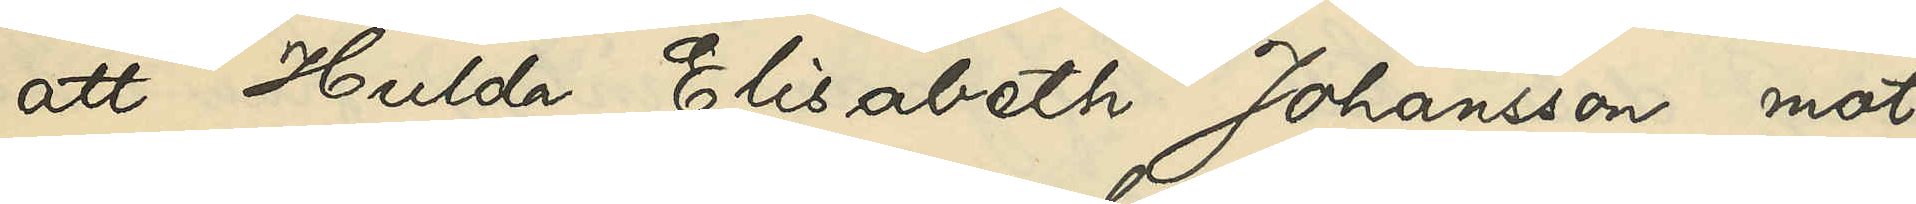att Hulda Elisabeth Johansson mot
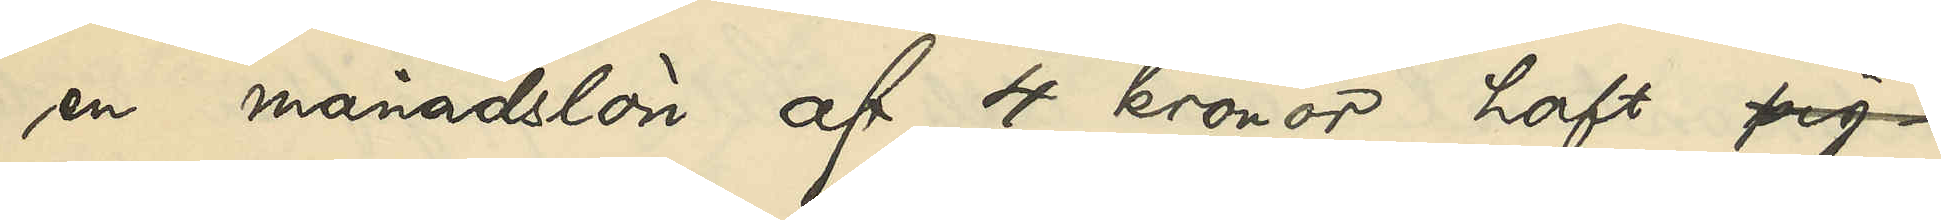en månadslön af 4 kronor haft pig-
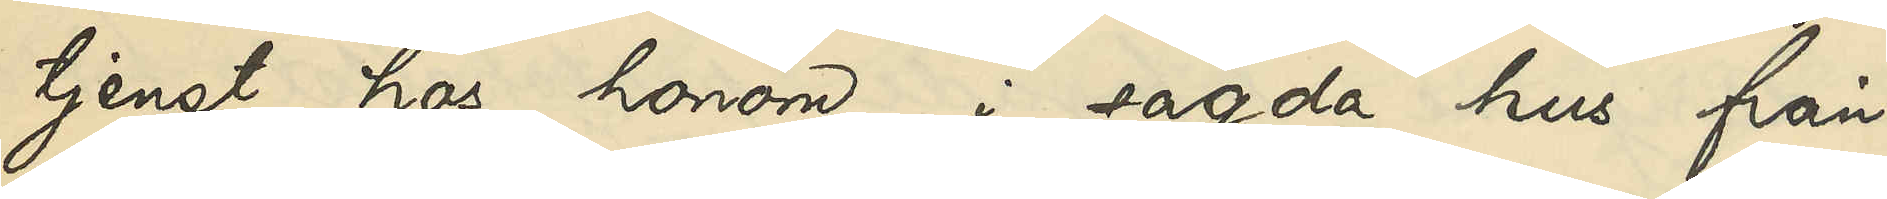tjenst hos honom i sagda hus från
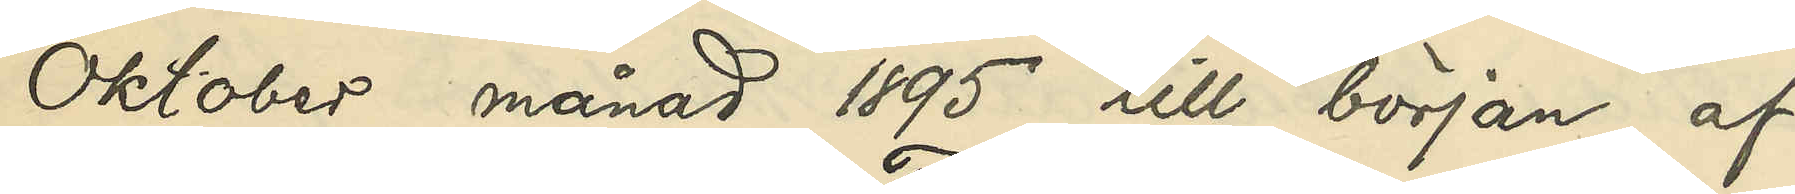Oktober månad 1895 till början af
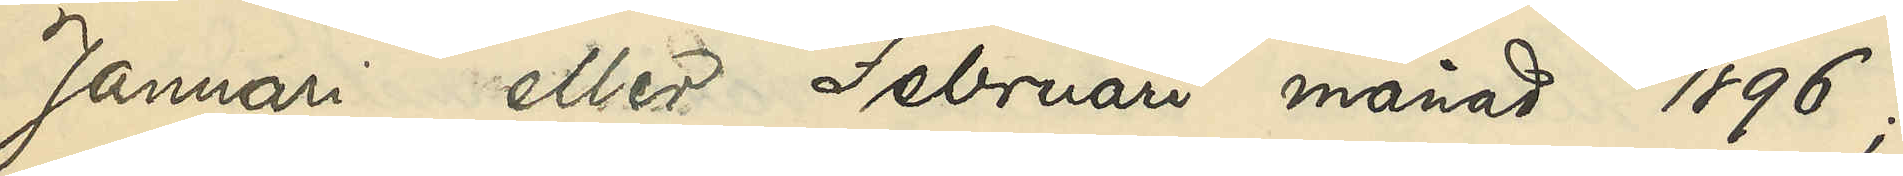Januari eller Februari månad 1896; att
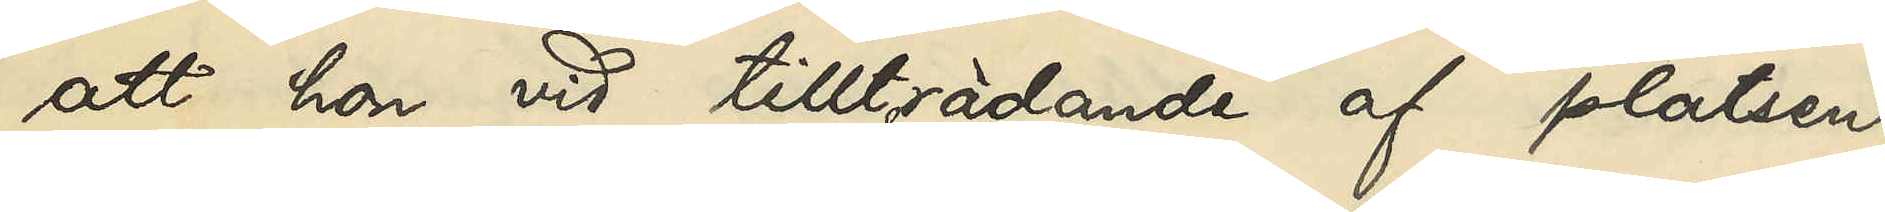att hon vid tillträdande af platsen
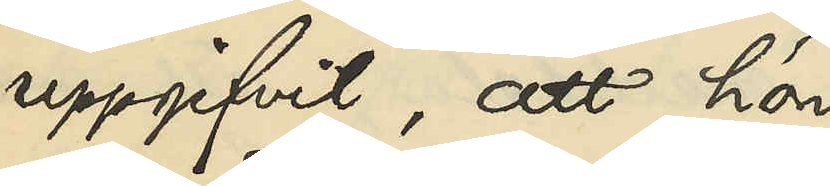uppgifvit, att hon
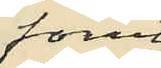förut
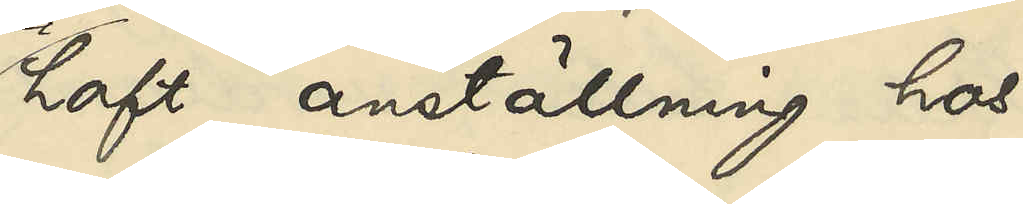haft anställning hos
